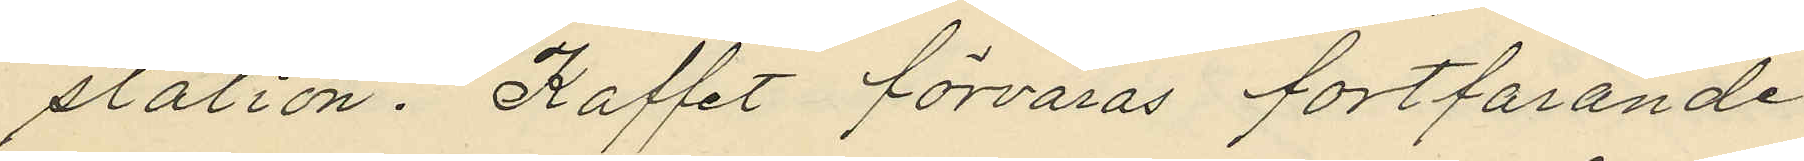station. Kaffet förvaras fortfarande
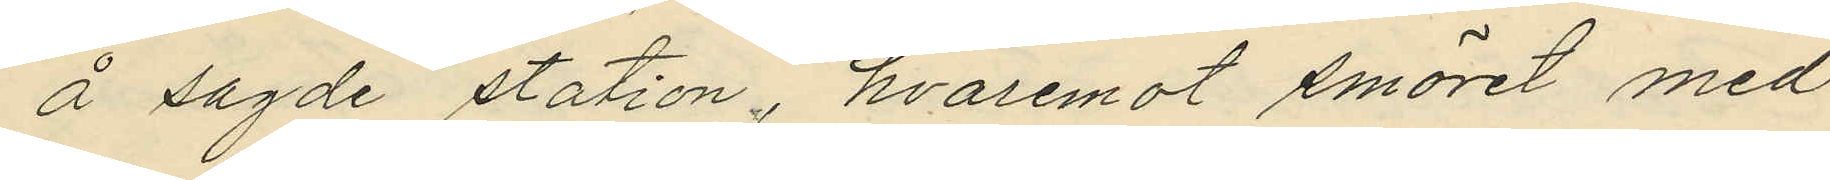å sagde station, hvaremot smöret med
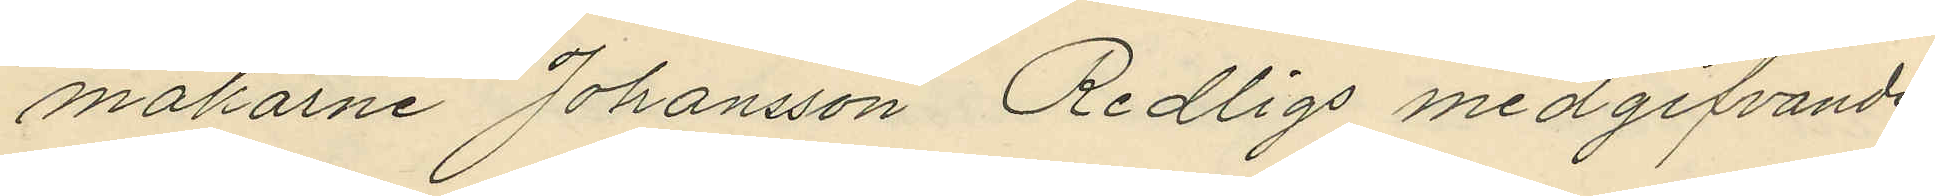makarne Johansson Redligs medgifvande
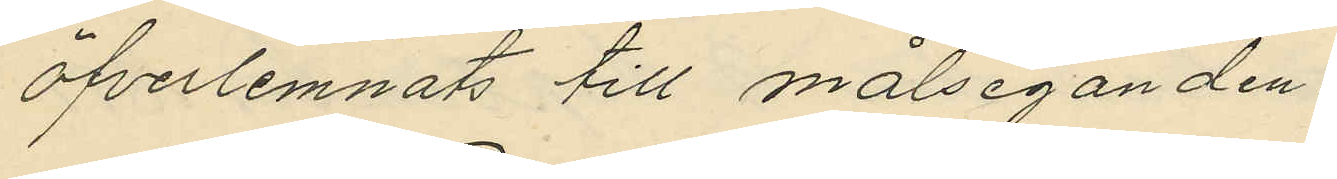öfverlemnats till målseganden.
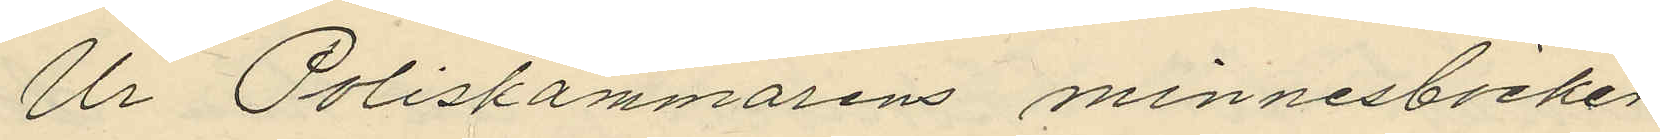Ur Poliskammarens minnesböcker
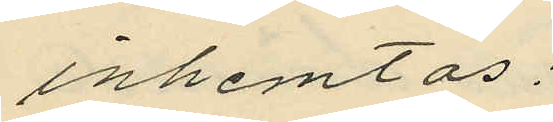inhemtas:
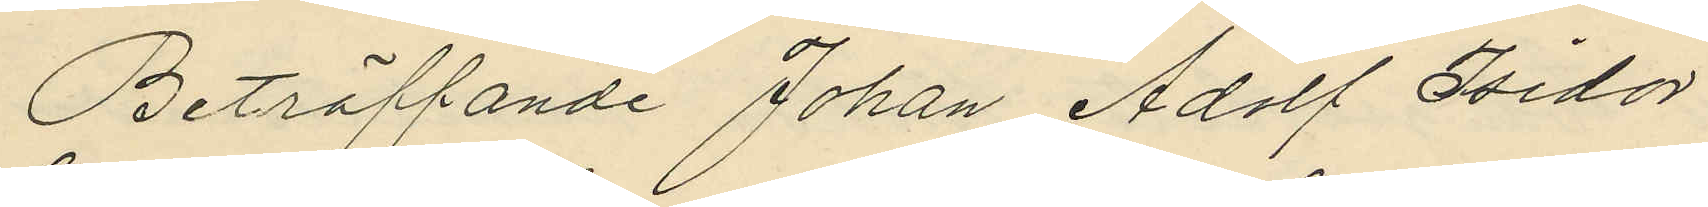Beträffande Johan Adolf Isidor
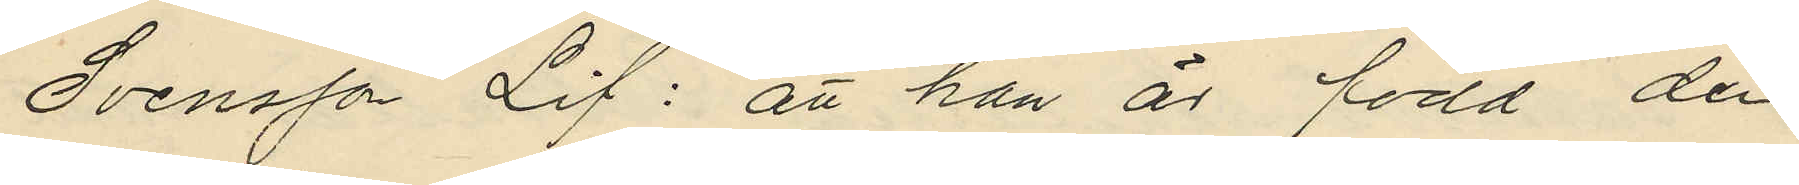Svensson Lif: att han är född den
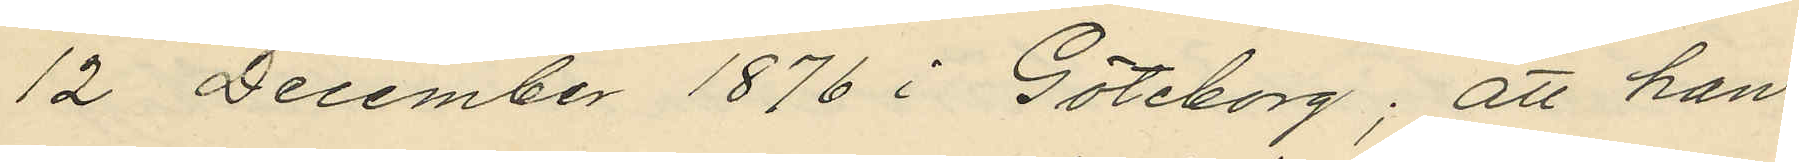12 December 1876 i Göteborg; att han
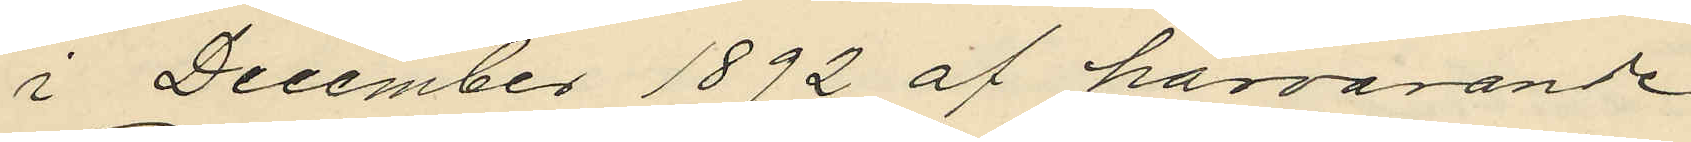i December 1892 af härvarande
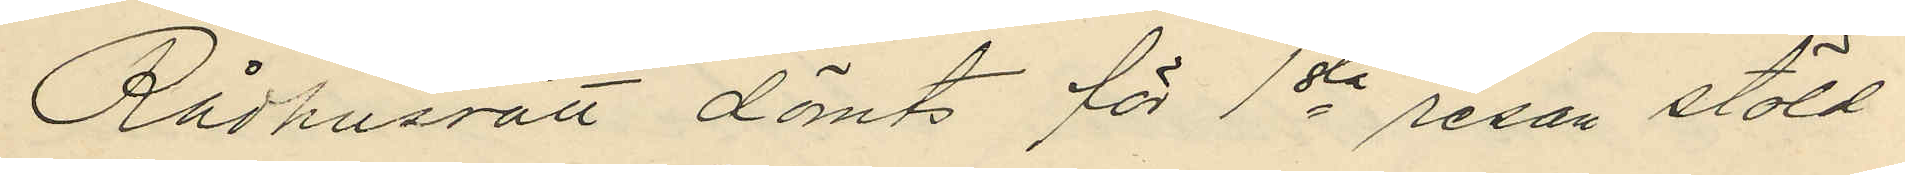Rådhusrätt dömts för 1sta resan stöld
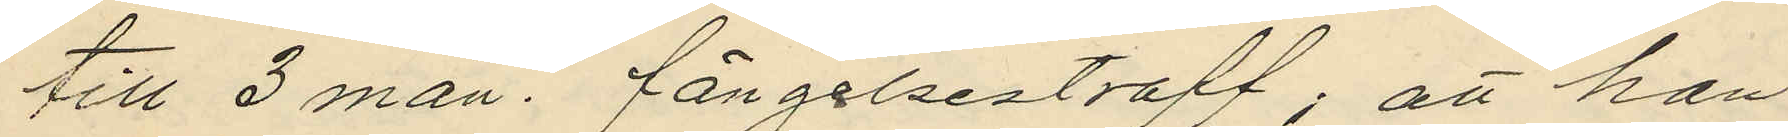till 3 mån. fängelsestraff; att han
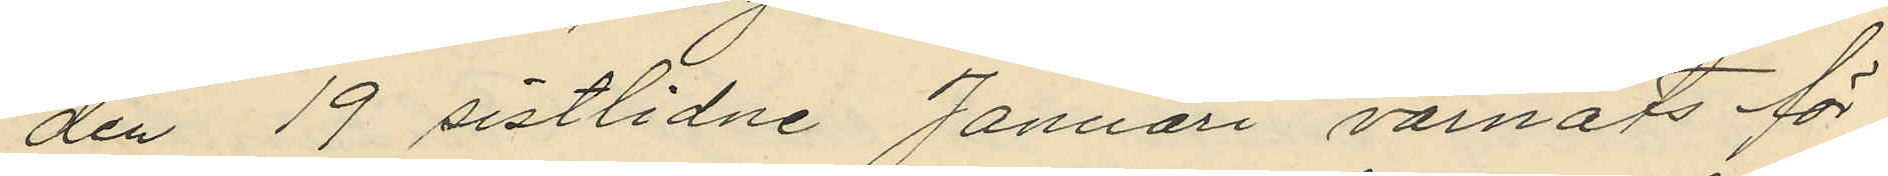den 19 sistlidne Januari varnats för
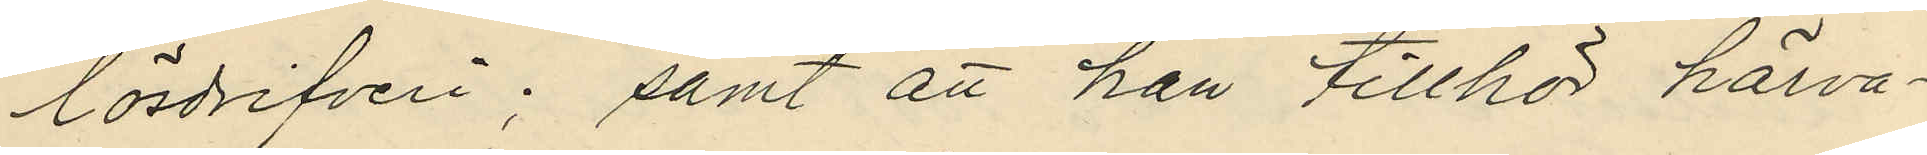lösdrifveri; samt att han tillhör härva¬
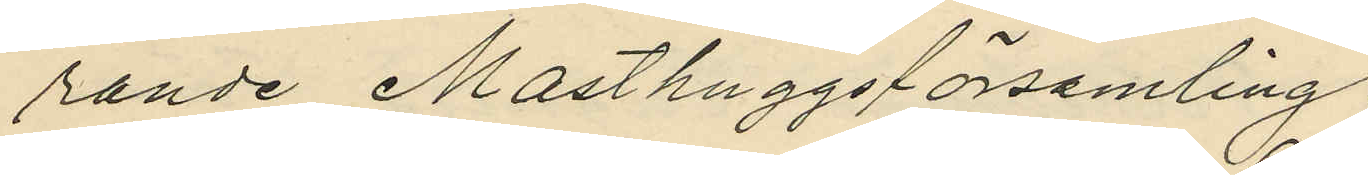rande Masthuggsförsamling;
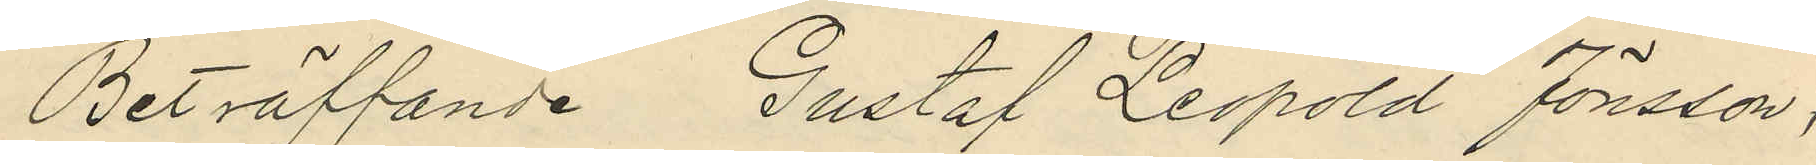Beträffande Gustaf Leopold Jönsson,
